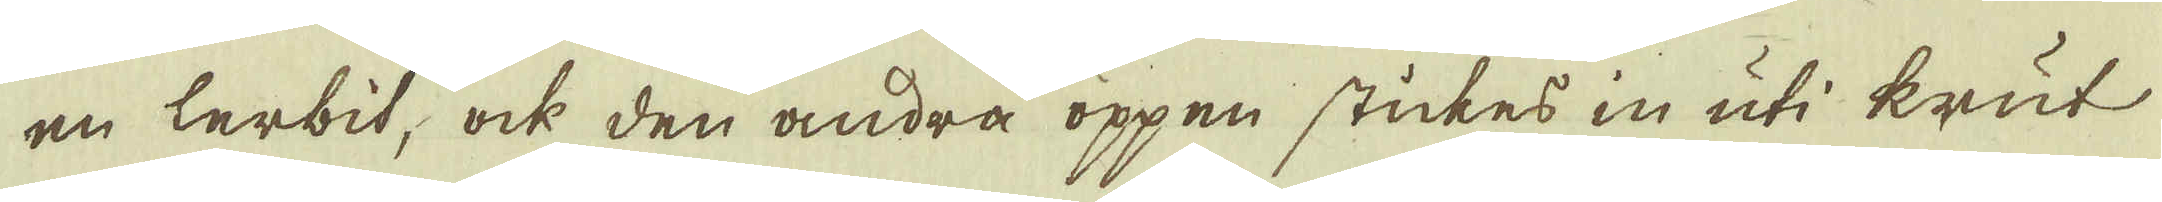en lerbit, ock den andra öppen stickes in uti krut
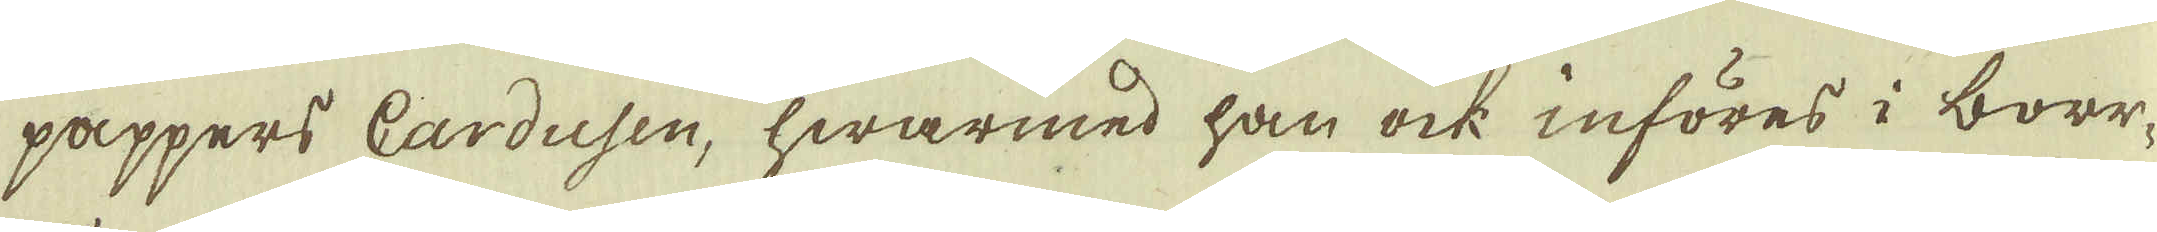pappers Cardusen, hwarmed han ock införes i borr-
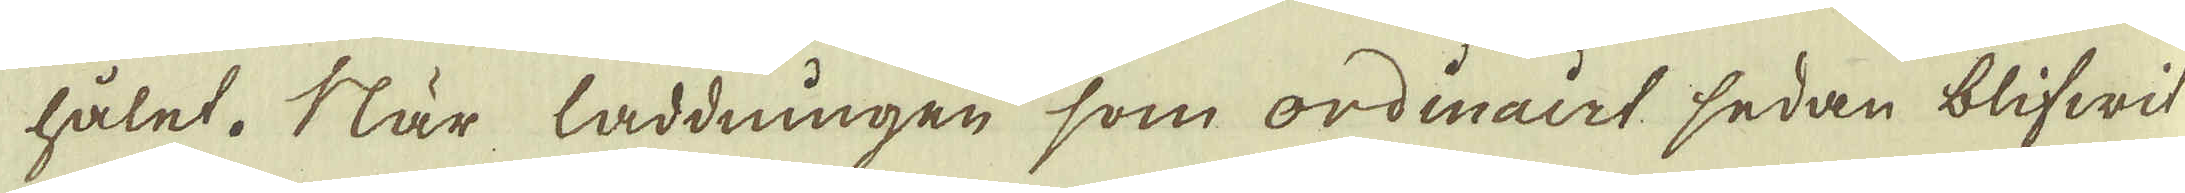hålet. När laddningen som ordinairt sedan blifwit
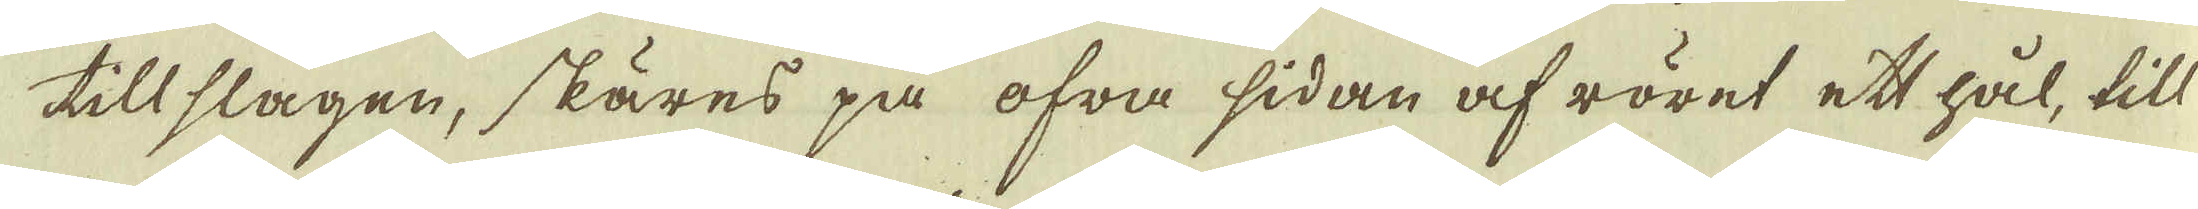tillslagen, skäres på ofra sidan af röret ett hål, till
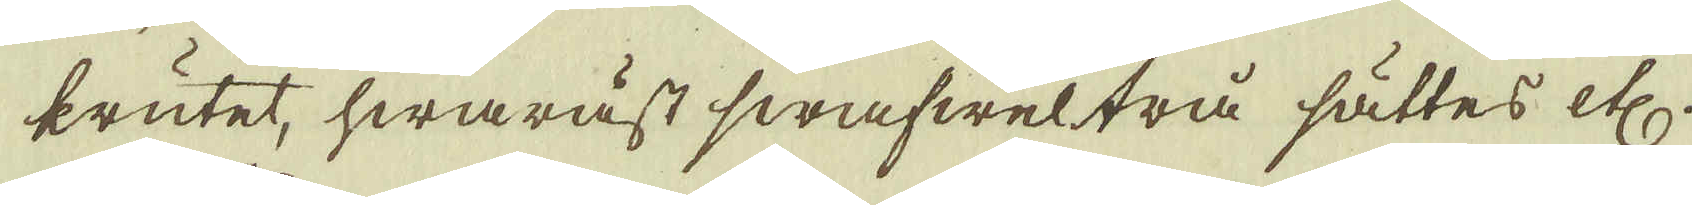krutet, hwaräst swafweltrå sättes etc.
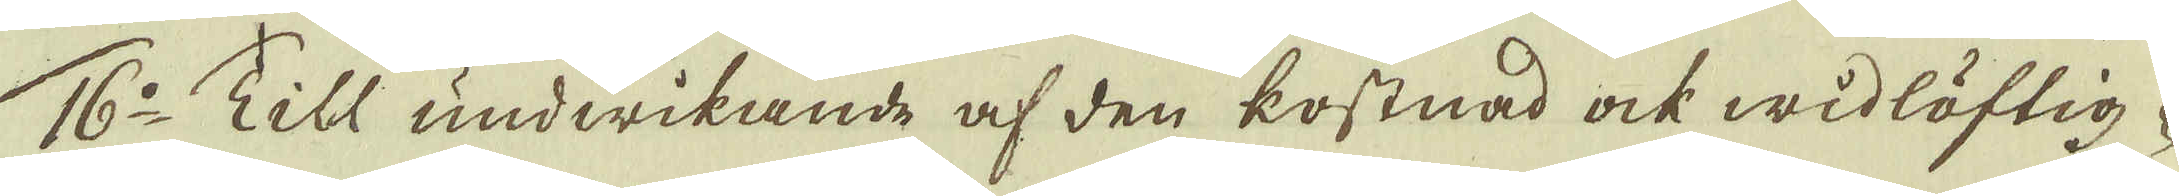16:o Till undwikande af den kostnad ock widlöftig-
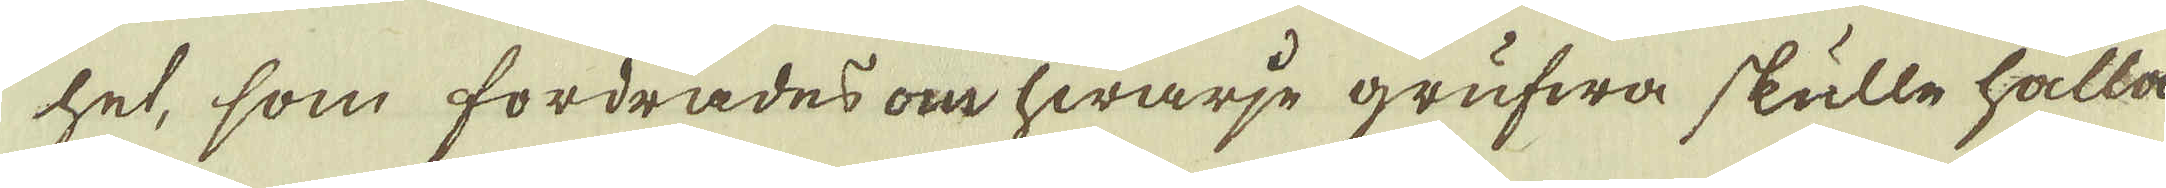het, som fordrades om hwarje grufwa skulle hålla
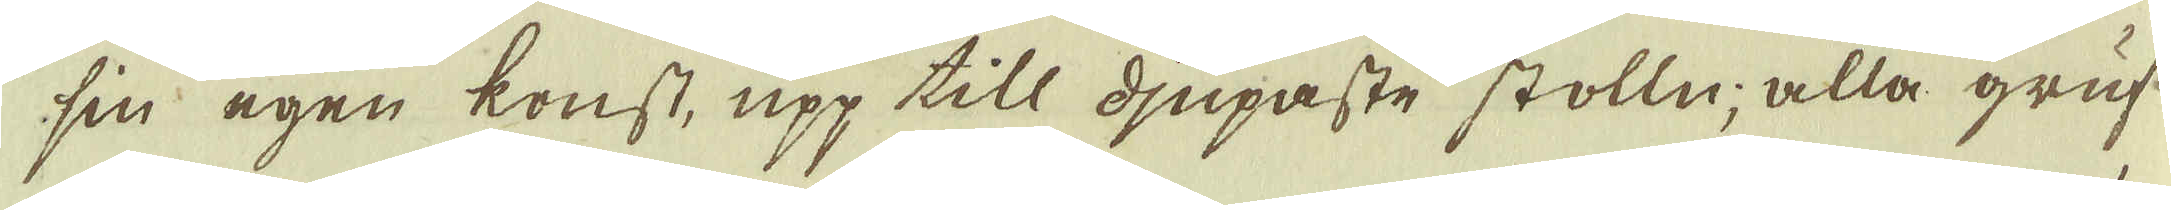sin egen konst, upp till djupaste stolln, alla gruf-
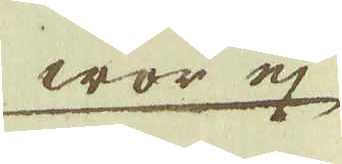wor ej
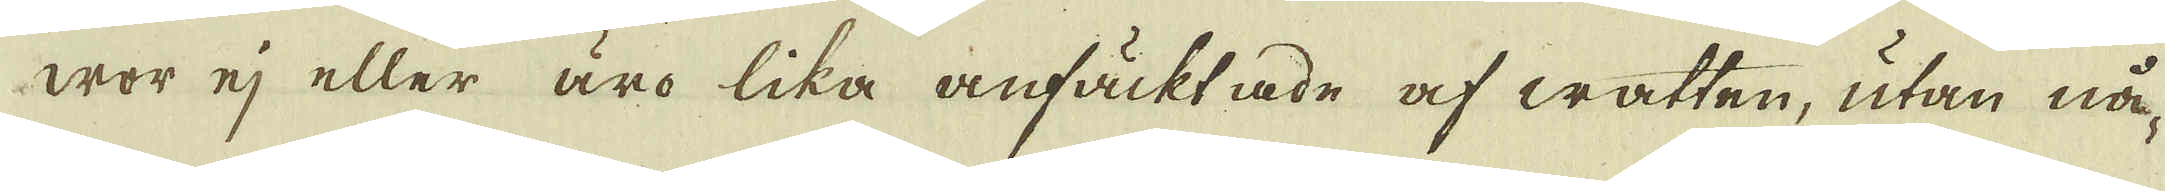wor ej eller äro lika anfäcktade af watten, utan nå-
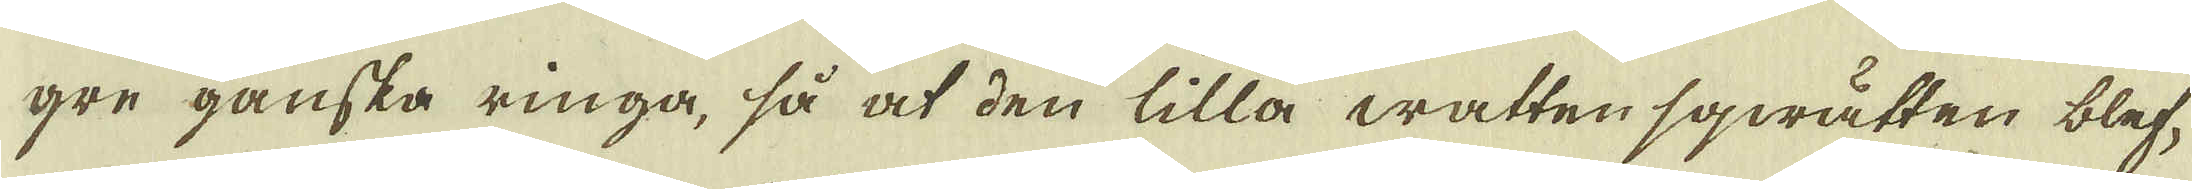gre ganska ringa, så at den lilla watten sqwätten blef-
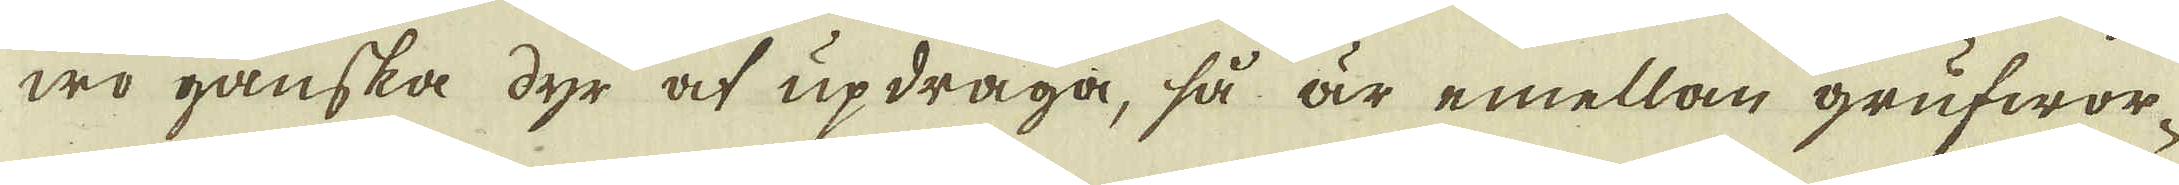wo ganska dyr at updraga, så är emellan grufwor-
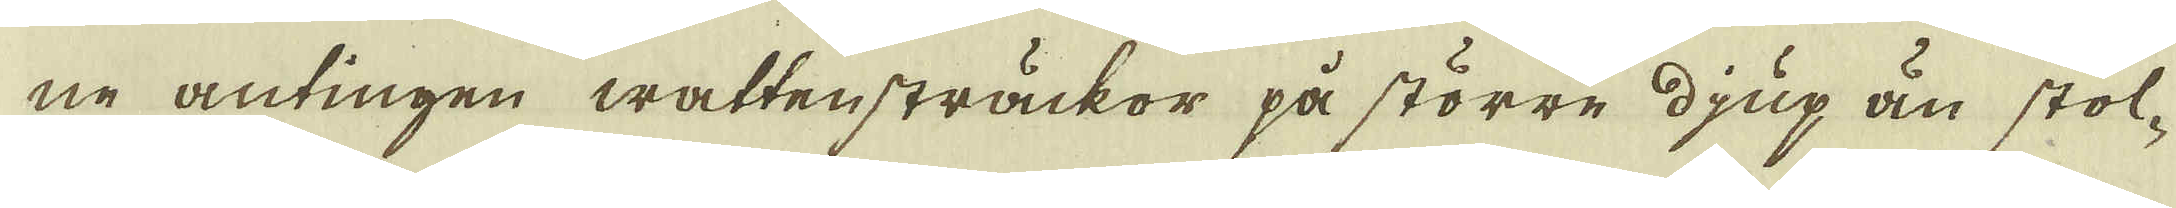ne antingen wattensträckor på större djup än stol-
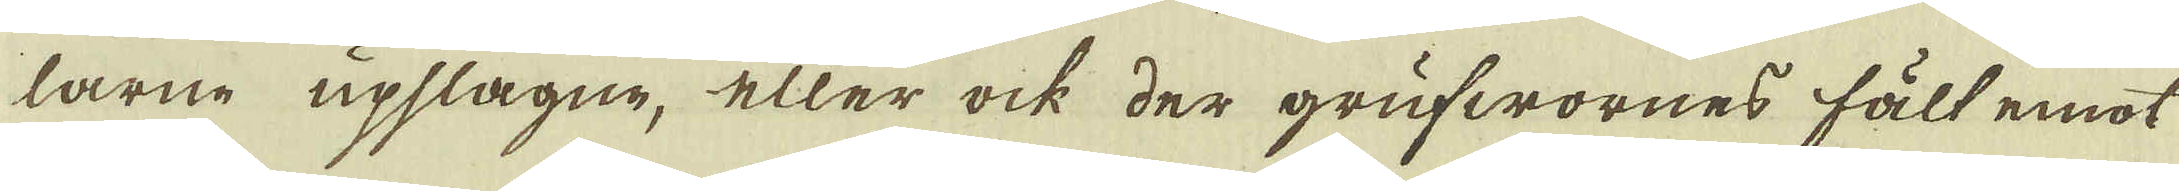larne upslagne, eller ock der grufwornes fält emot
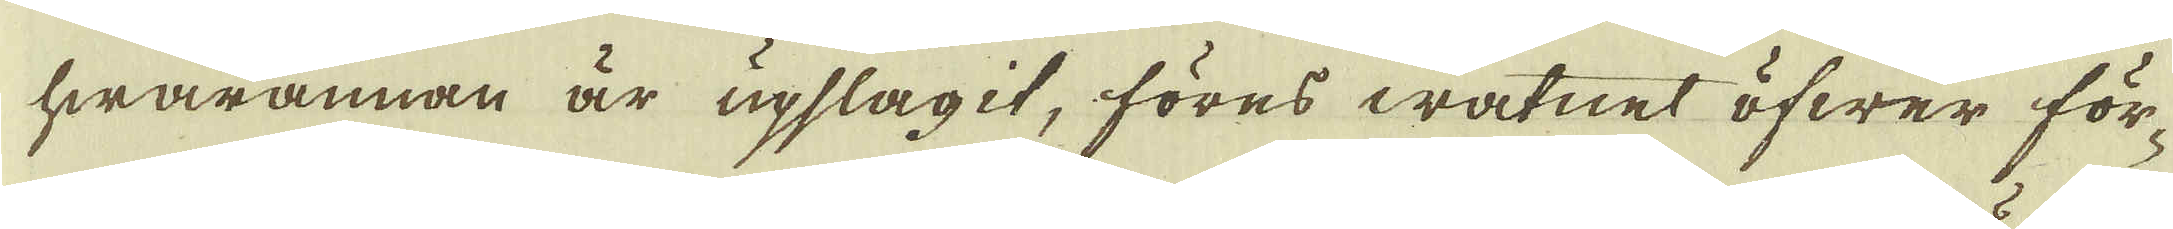hwarannan är upslagit, föres watnet öfwer för-
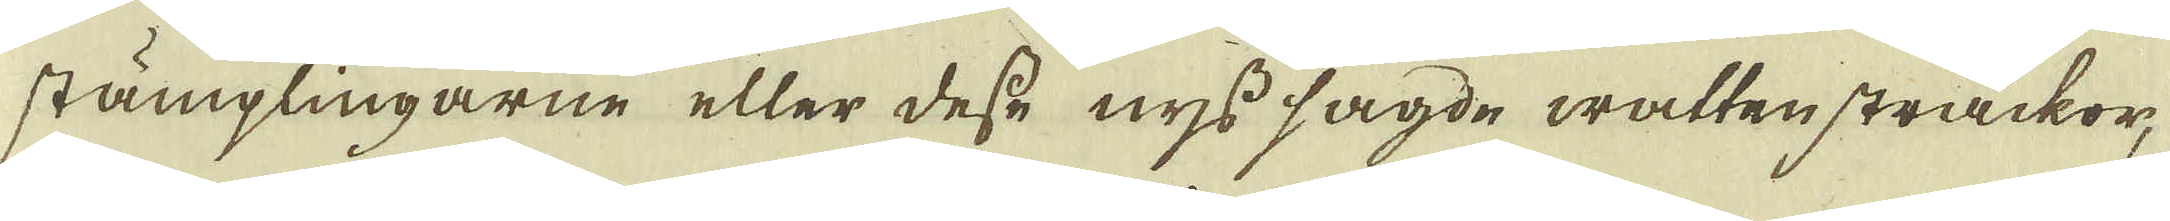stämplingarne eller desse nyss sagde watten sträckor,
